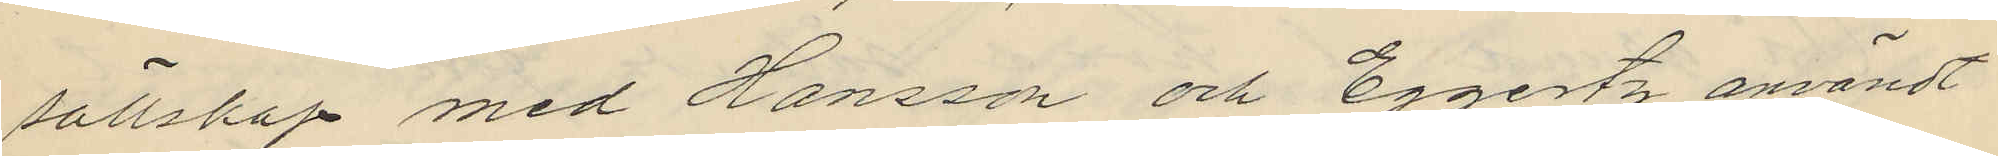sällskap med Hansson och Eggertz användt
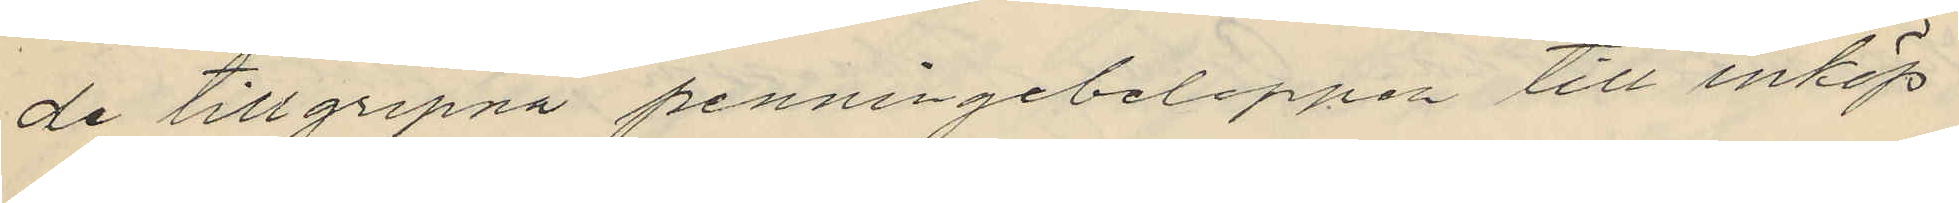de tillgripna penningebeloppen till inköp
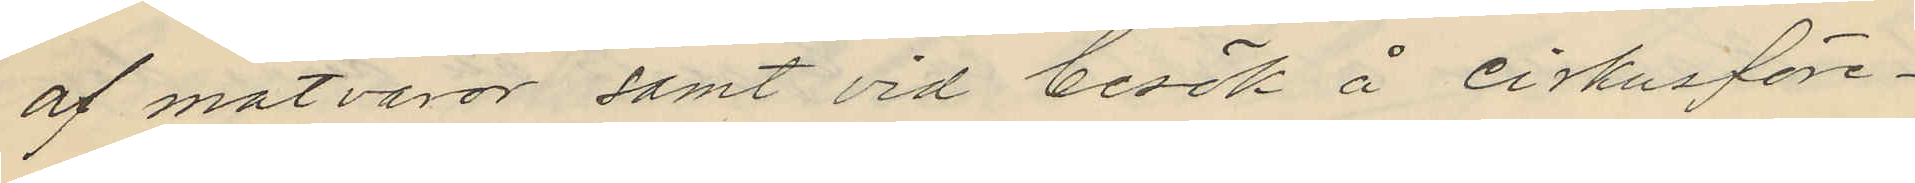af matvaror samt vid besök å cirkusföre¬
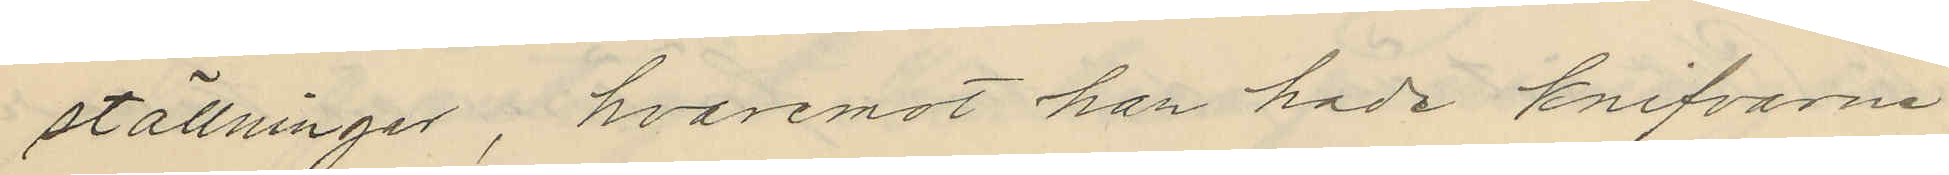ställninger, hvaremot han hade knifvarne
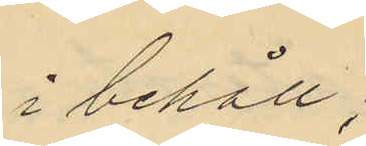i behåll;
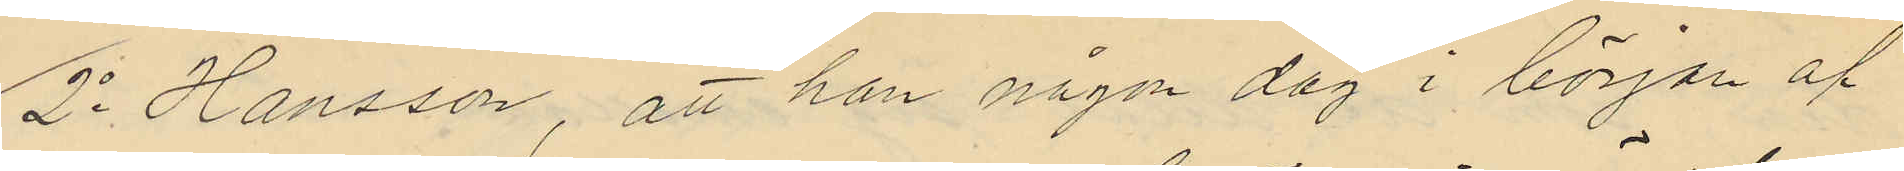2o Hansson, att han någon dag i början af
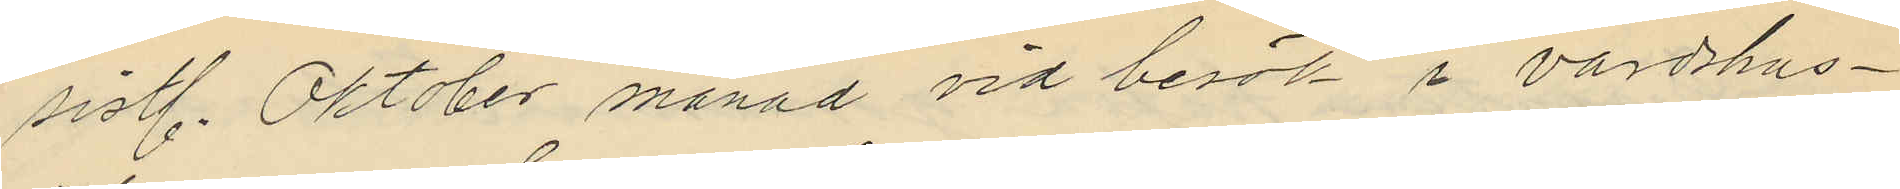sistl. Oktober månad vid besök i värdshus¬
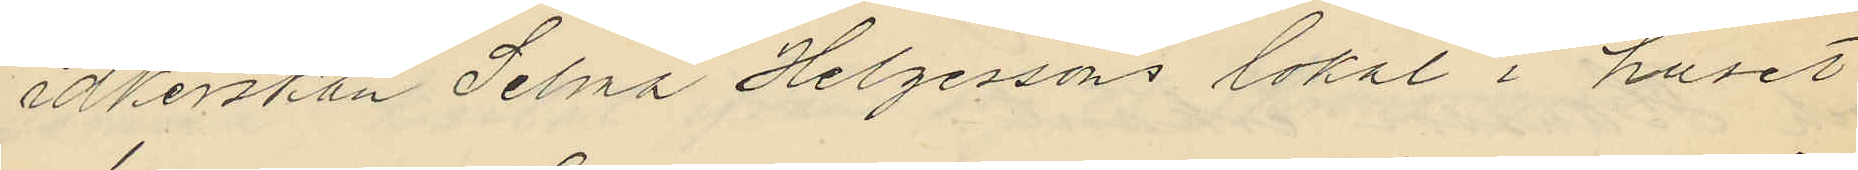idkerskan Selma Helgessons lokal i huset
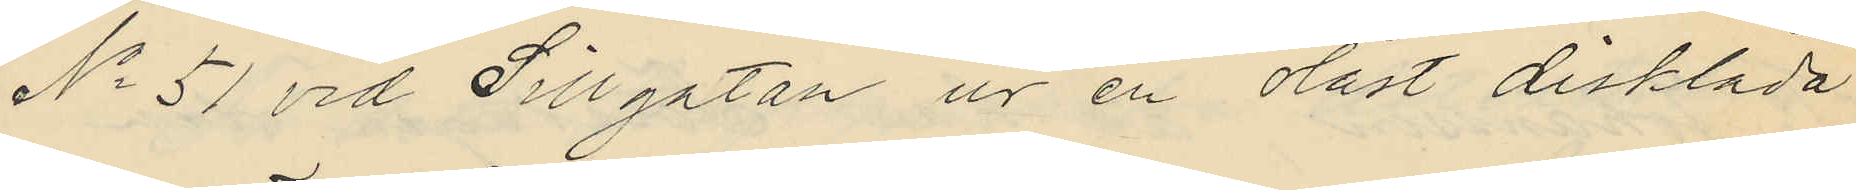No 51 vid Sillgatan ur en olåst disklåda
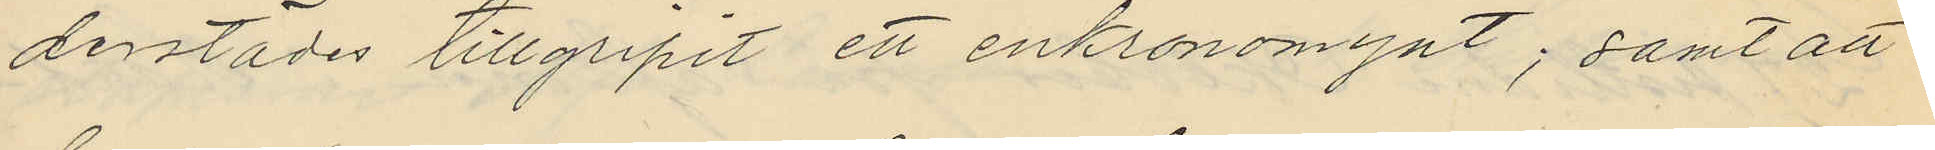derstädes tillgripit ett enkronomynt; samt att
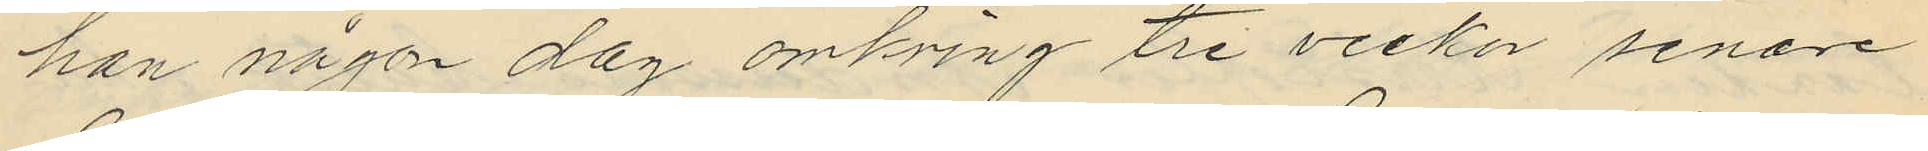han någon dag omkring tre veckor senare
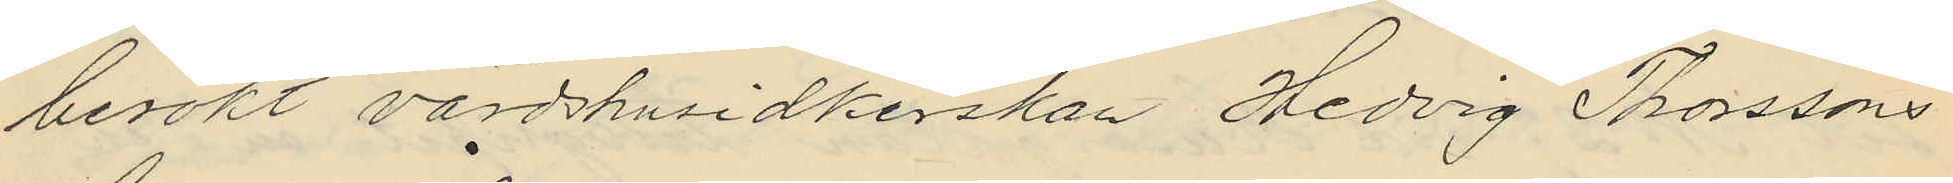besökt värdshusidkerskan Hedvig Thorssons
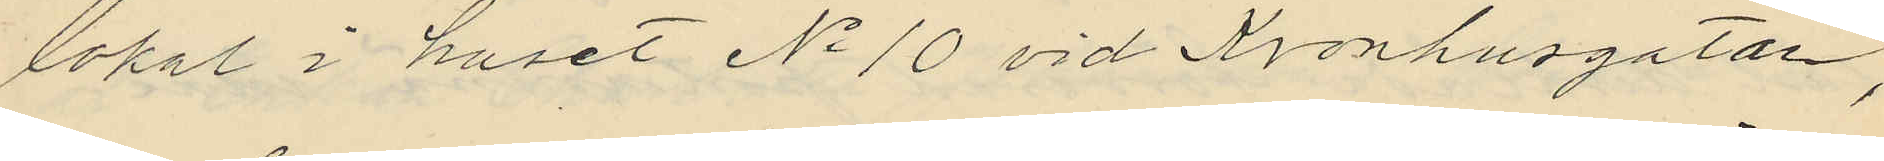lokal i huset No 10 vid Kronhusgatan,
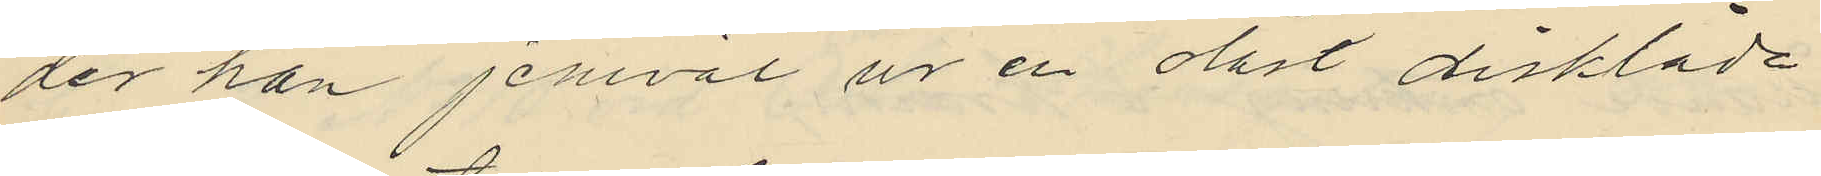der han jemväl ur en olåst disklåda
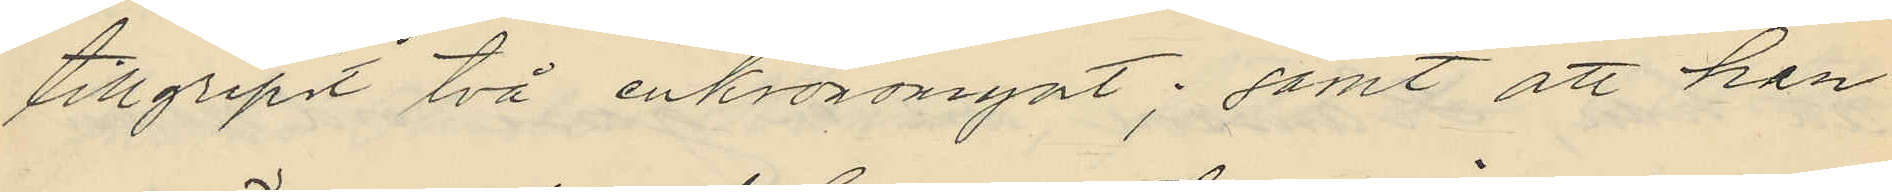tillgripit två enkronomynt; samt att han
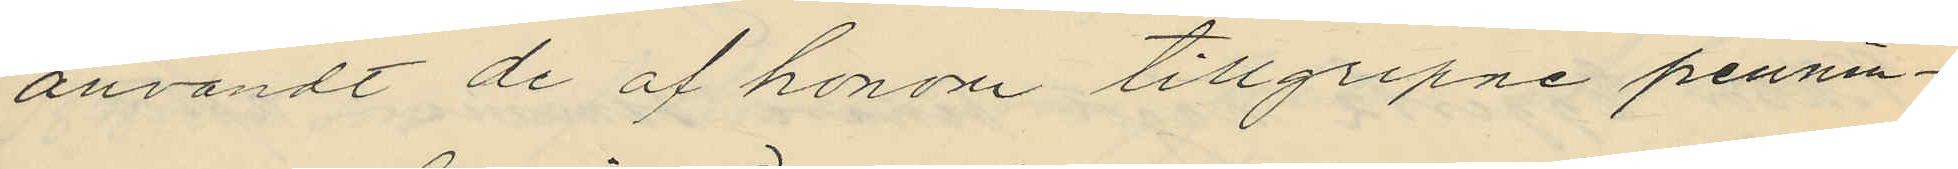användt de af honom tillgripne pennin¬
